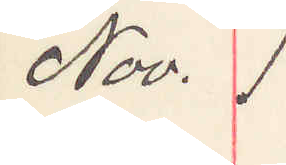Nov. 1
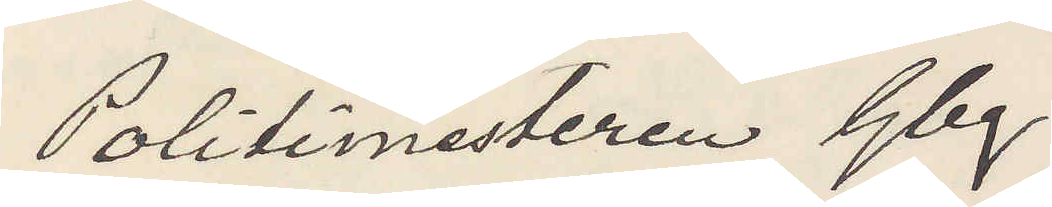Politimesteren Gbg.
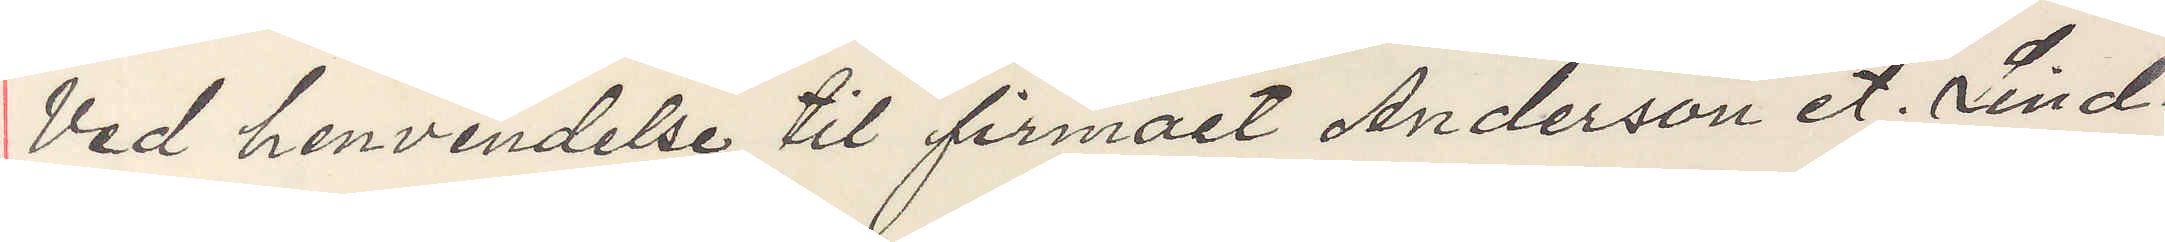Ved henvendelse til firmaet Andersson et. Lind¬
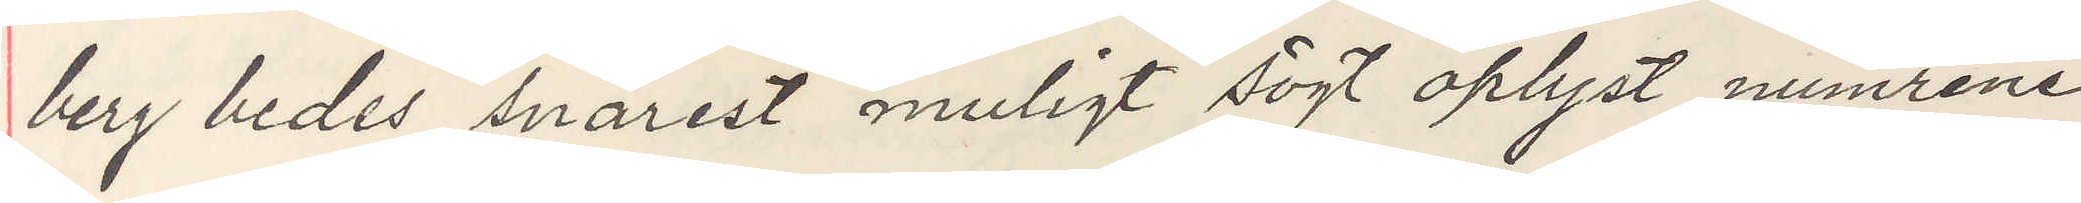berg bedes snarest muligt sögt oplyst numrene
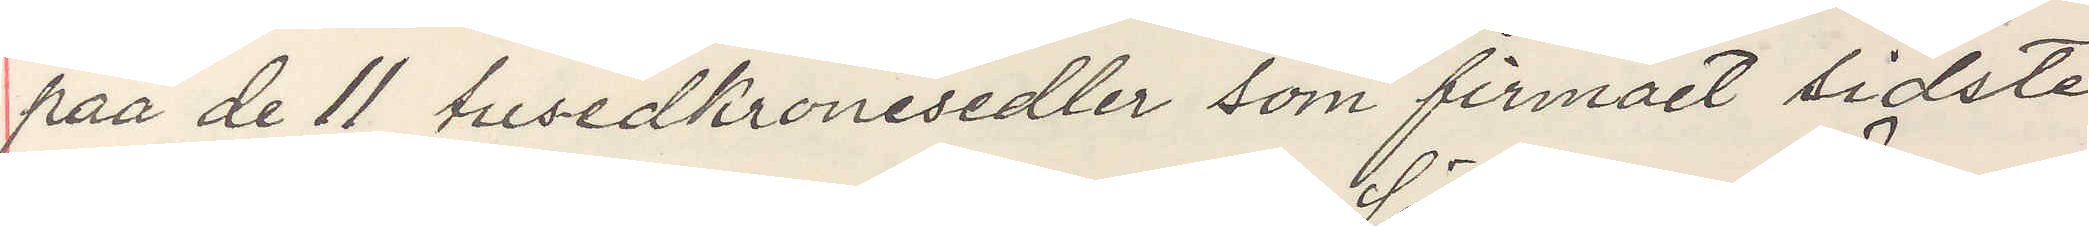paa de 11 tusedkronesedlar som firmaet sidste
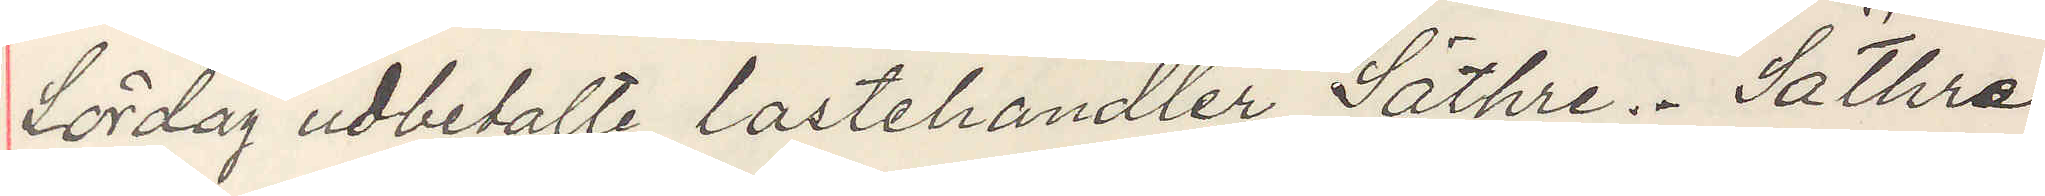Lördag udbetalte lastehandler Säthre. Säthre
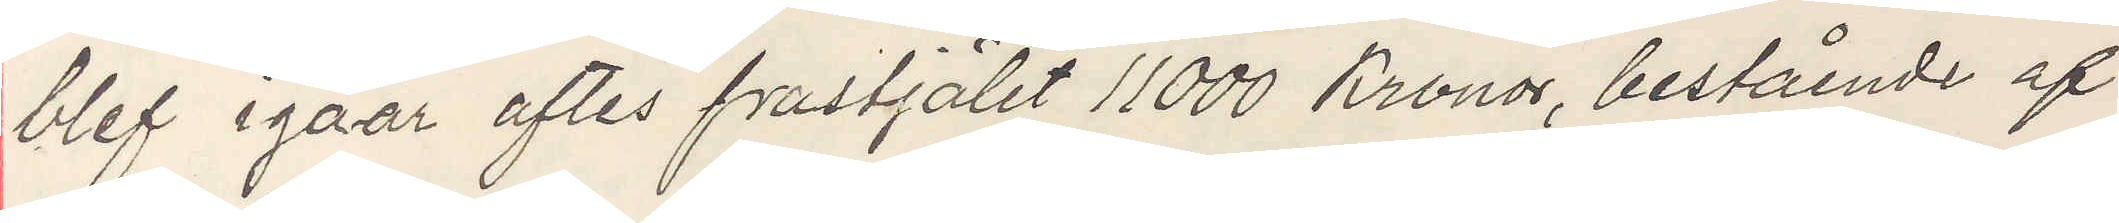blef igaar aftes frastjälet 11000 Kronor, bestående af
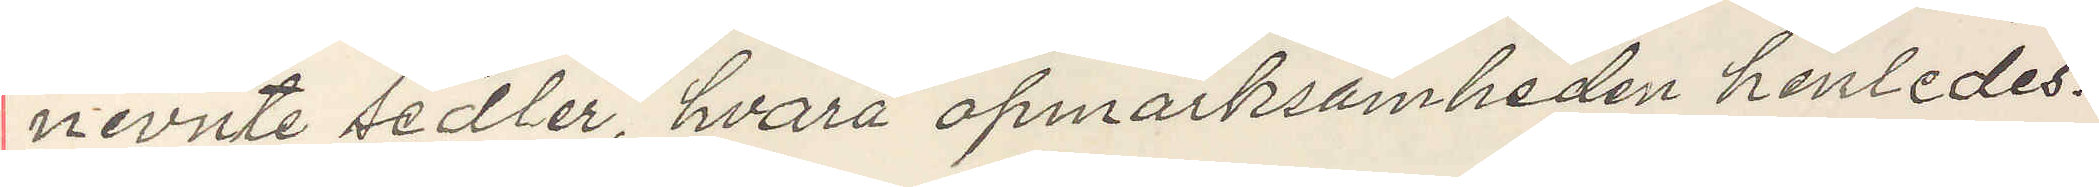nevnte sedler, hvarå opmärksamheden henledes!
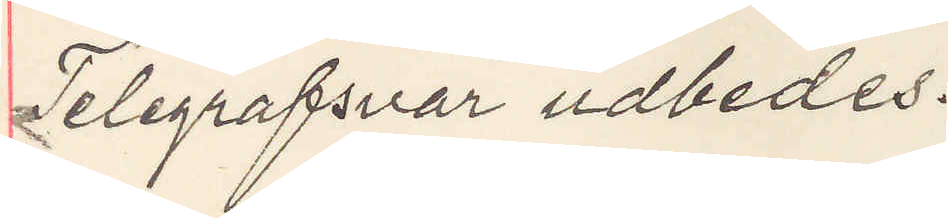Telegrafsvar udbedes.
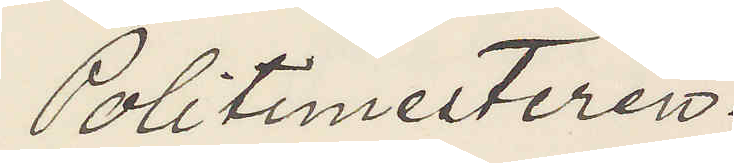Politimesteren.
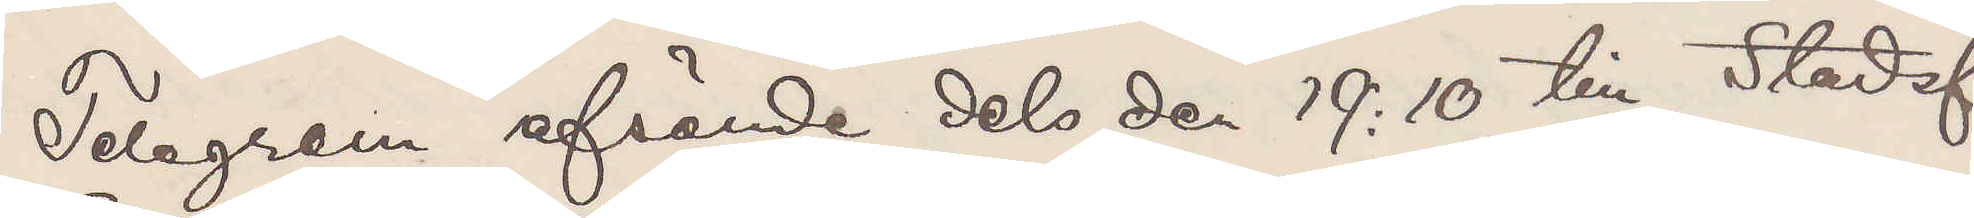Telegram afsände dels den 19:10 till Stadsf.
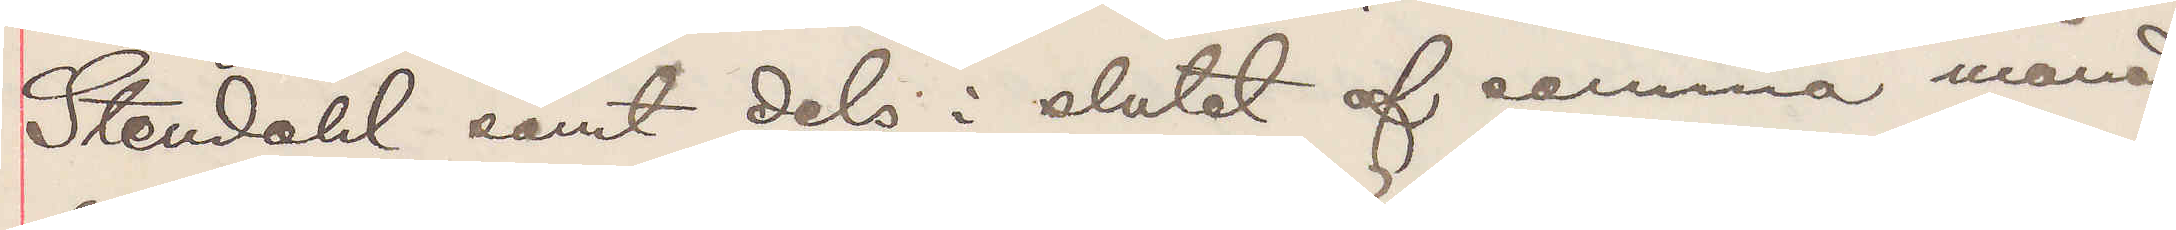Stendahl samt dels i slutet af samma månad
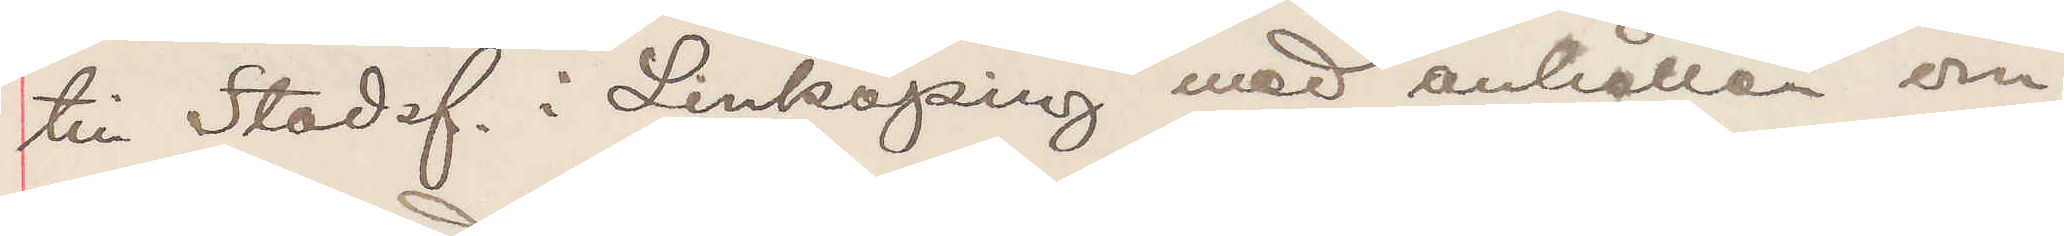till Stadsf. i Linköping med anhållan om
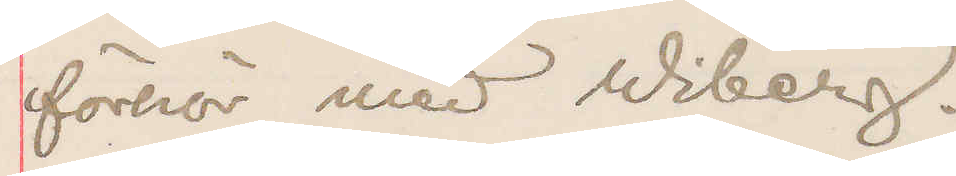förhör med Wiberg.
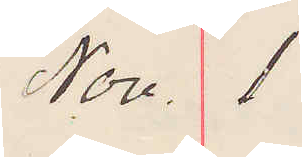Nov. 1
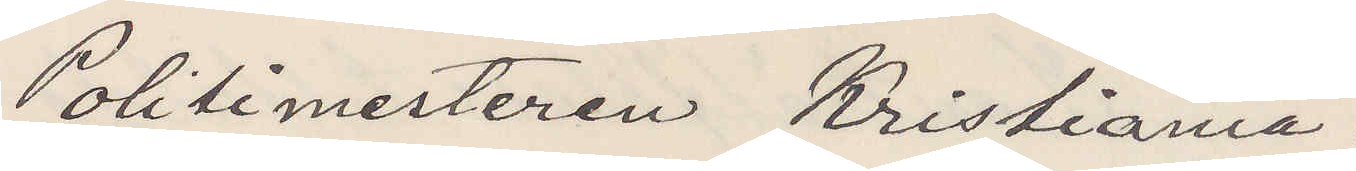Politimesteren Kristiania.
